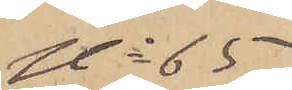No 65
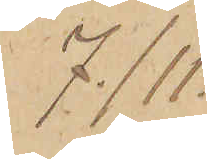7/11.
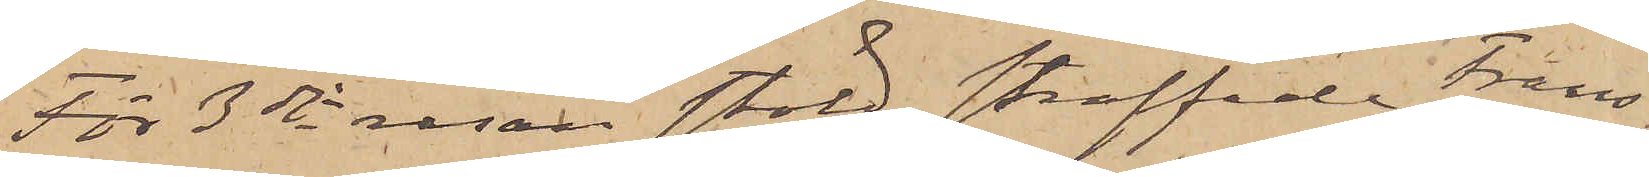För 3dje resan stöld straffade Frans
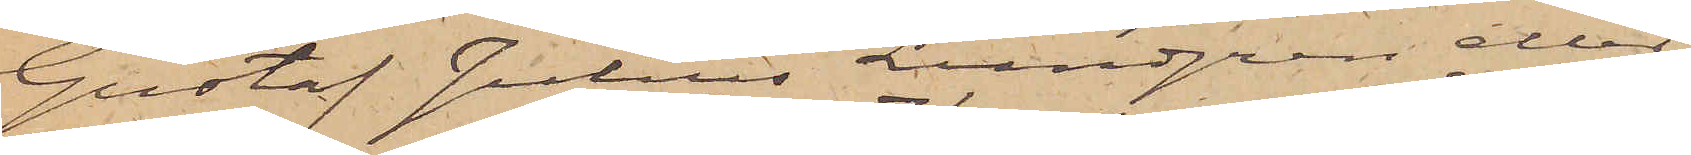Gustaf Julius Lundgren eller
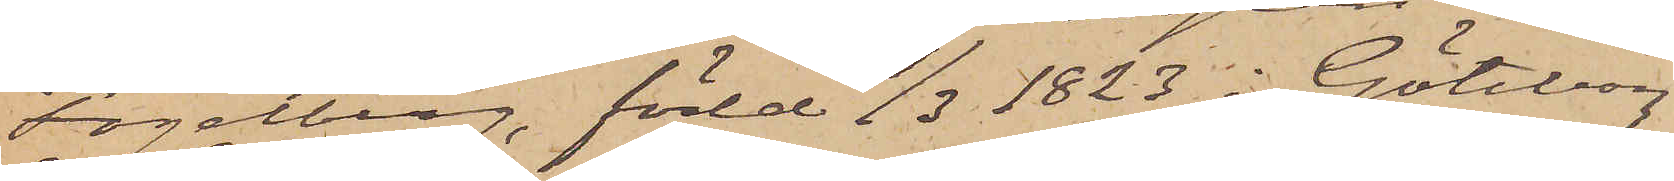Fogelberg, född 7/3 1823 i Göteborg
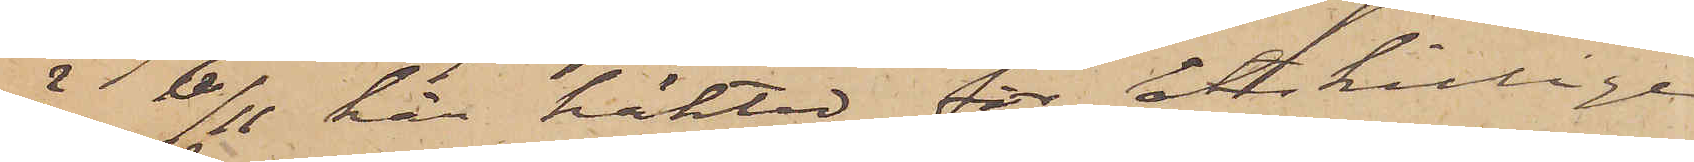är 6/11 här häktad för åtskillige
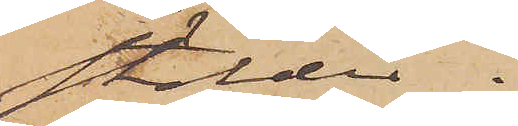stölder.
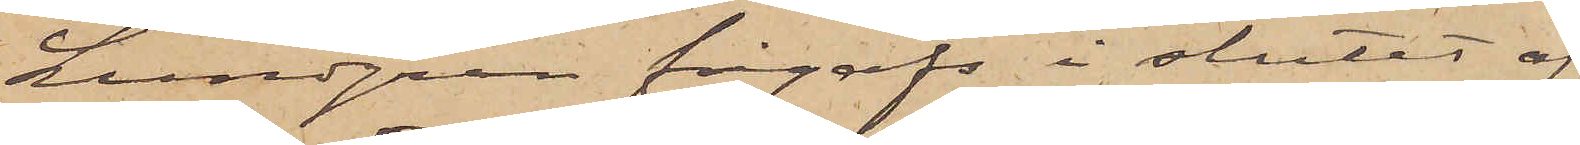Lundgren frigafs i slutet af
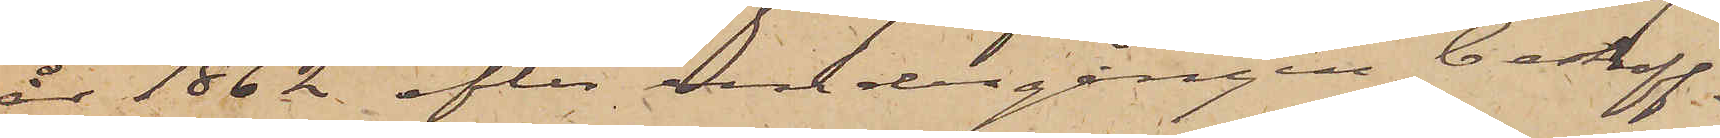år 1862 efter undergången bestraff¬
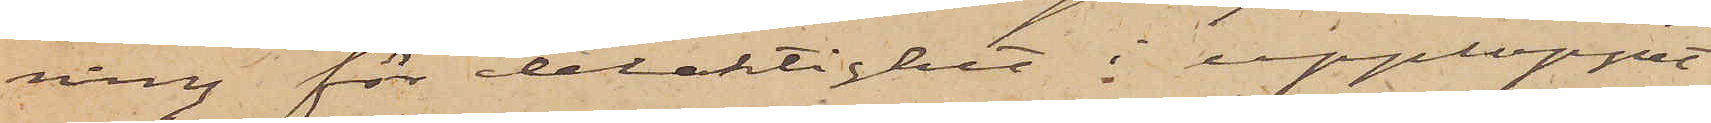ning för delaktighet i upploppet
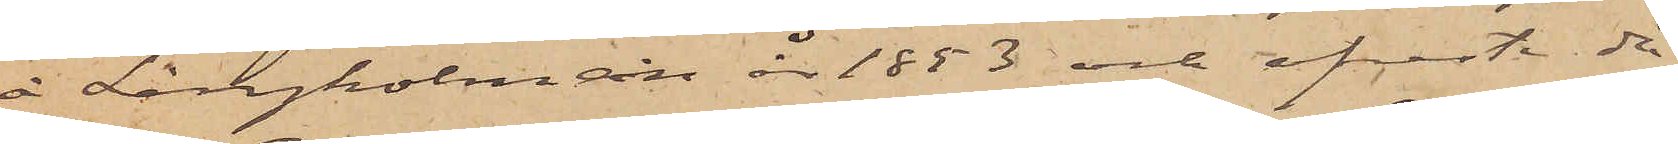å Långholmen år 1853 och afreste då
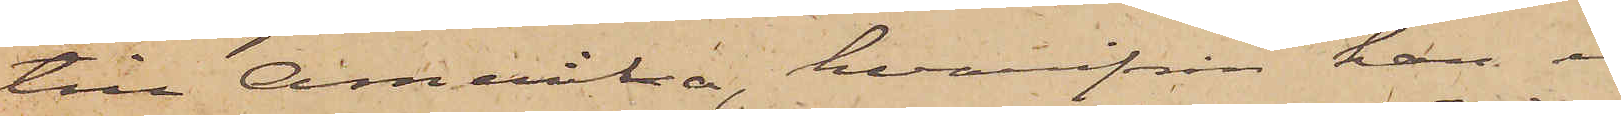till Amerika, hvarifrån han i
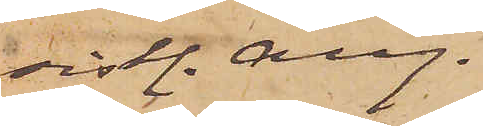sistl. Aug.
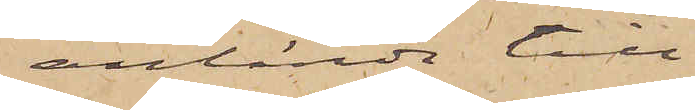anlände till
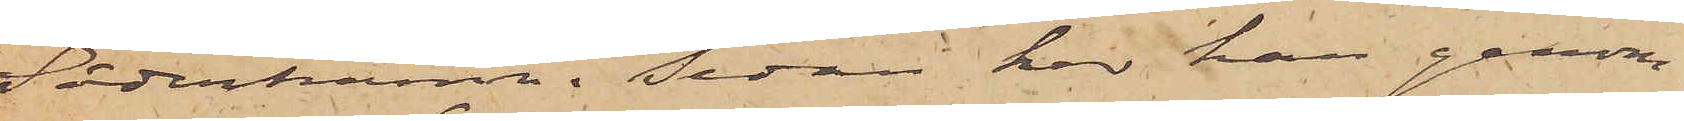Söderhamn. Sedan har han genom¬
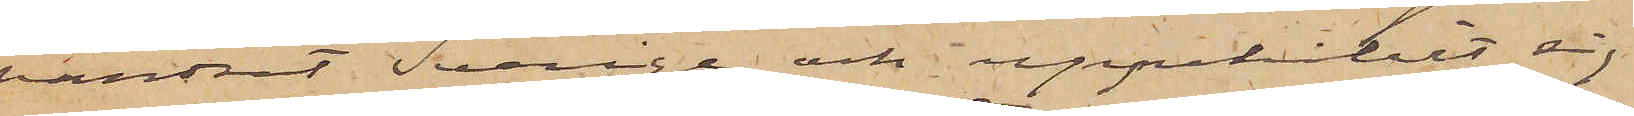vandrat Sverige och uppehållit sig
